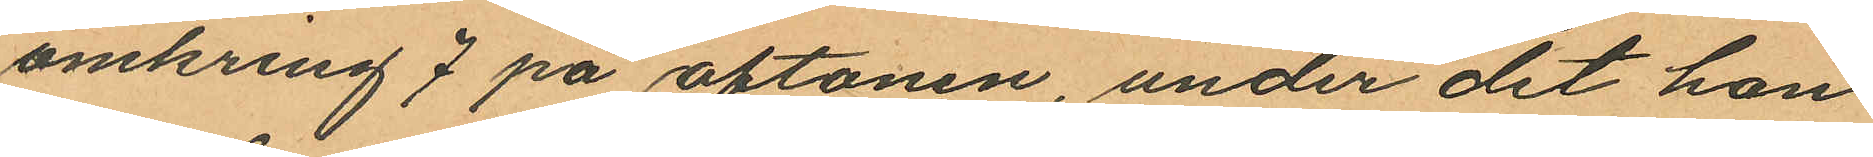omkring 7 på aftonen, under det han
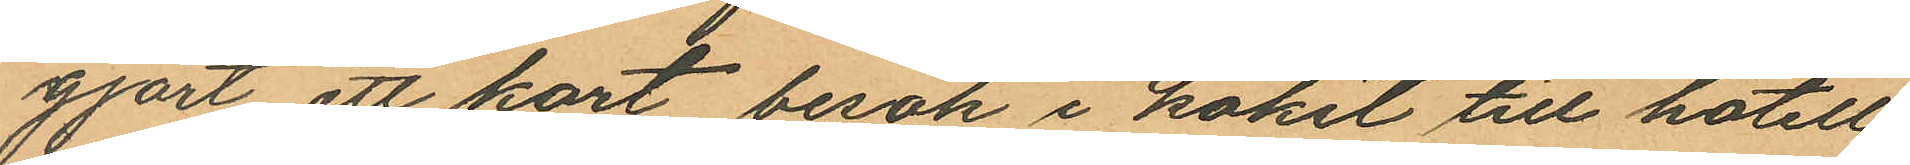gjort ett kort besök i köket till hotell
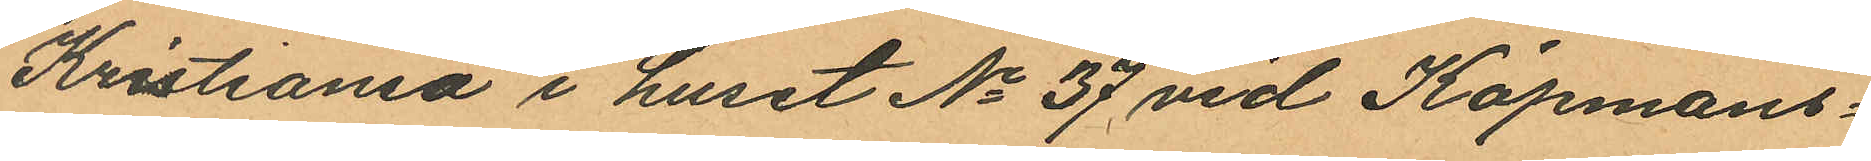Kristiania i huset No 37 vid Köpmans¬
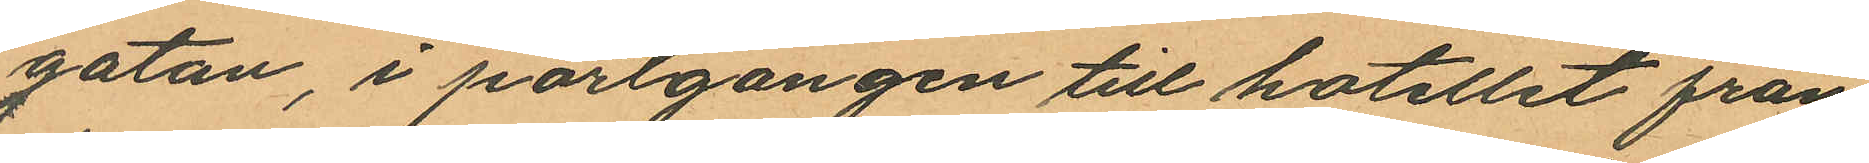gatan, i portgången till hotellet från
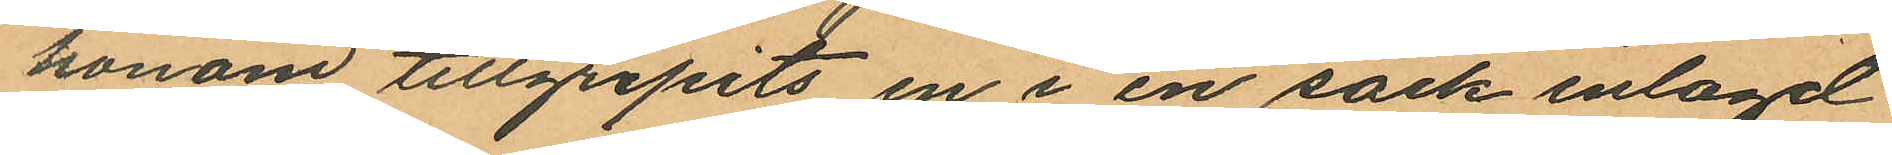honom tillgripits en i en säck inlagd
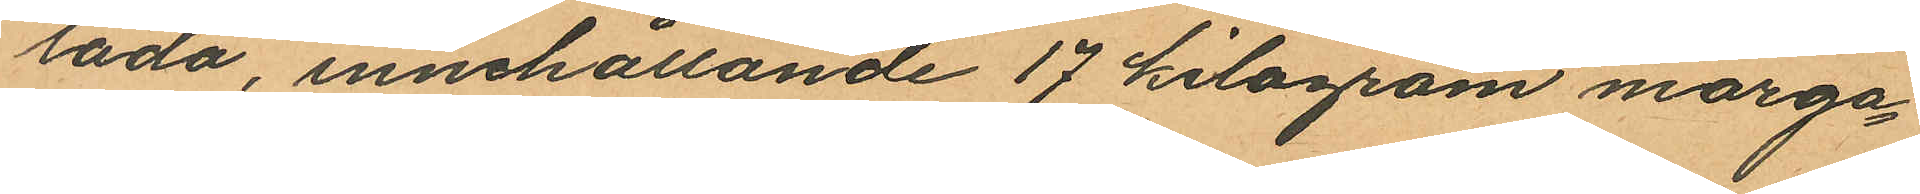låda, innehållande 17 kilogram marga¬
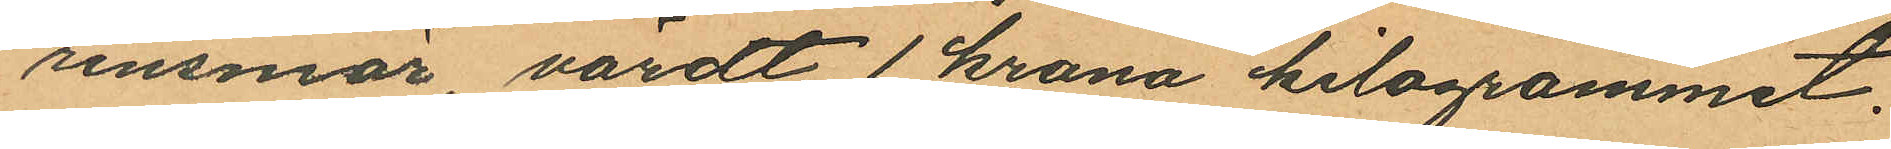rinsmör värdt 1 krona kilogrammet.
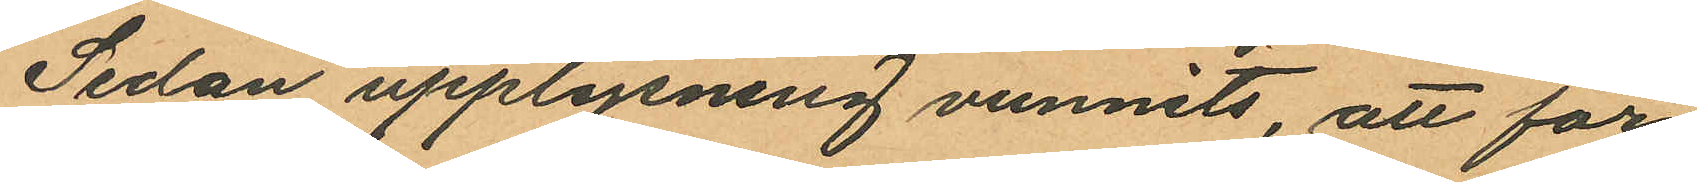Sedan upplysning vunnits, att för
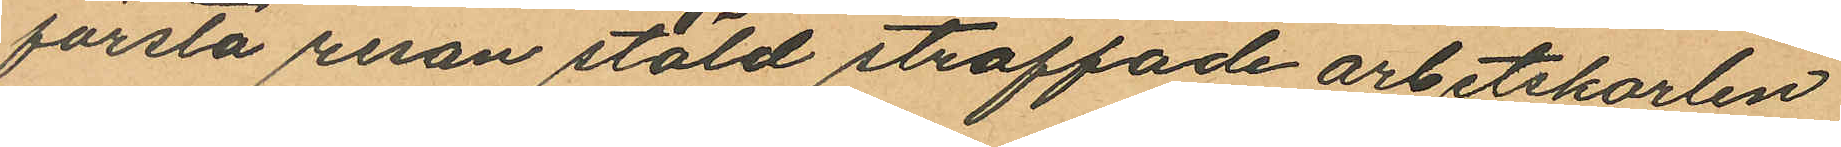första resan stöld straffade arbetskarlen
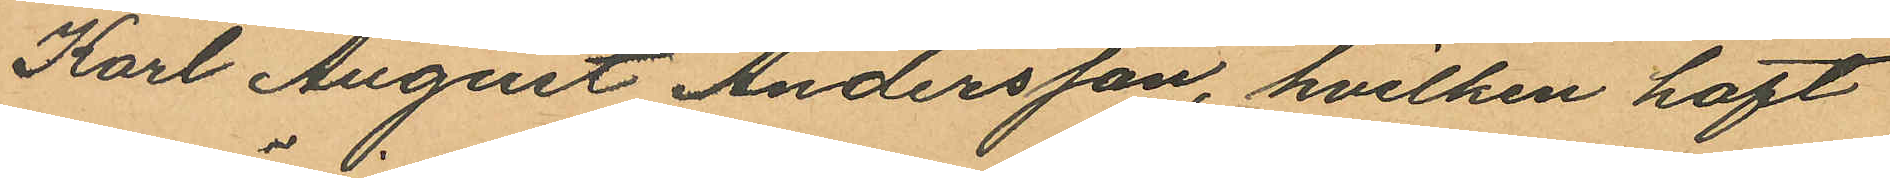Karl August Andersson, hvilken haft
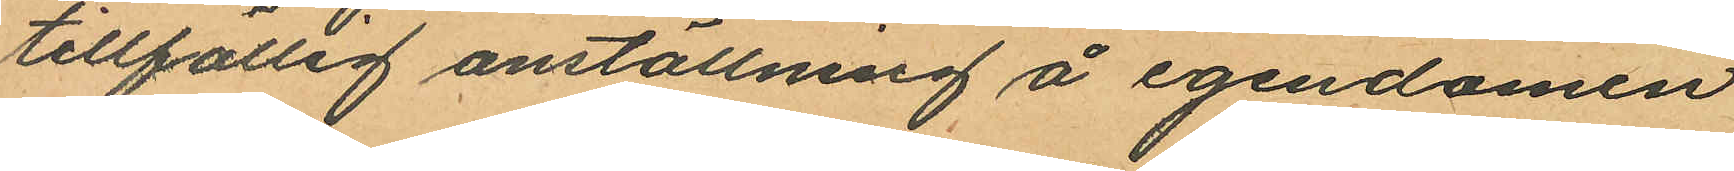tillfällig anställning å egendomen
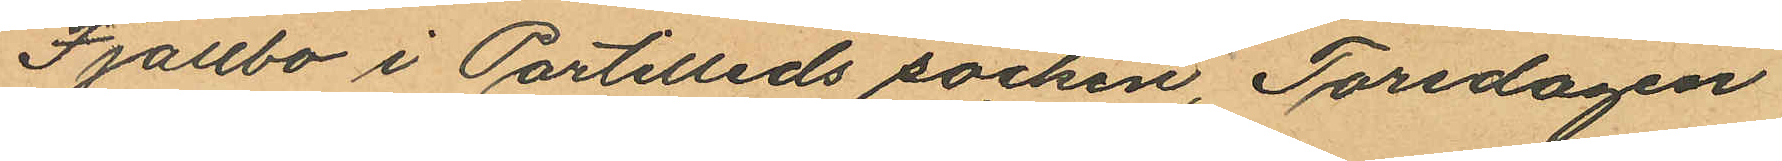Fjällbo i Partilleds socken, Torsdagen
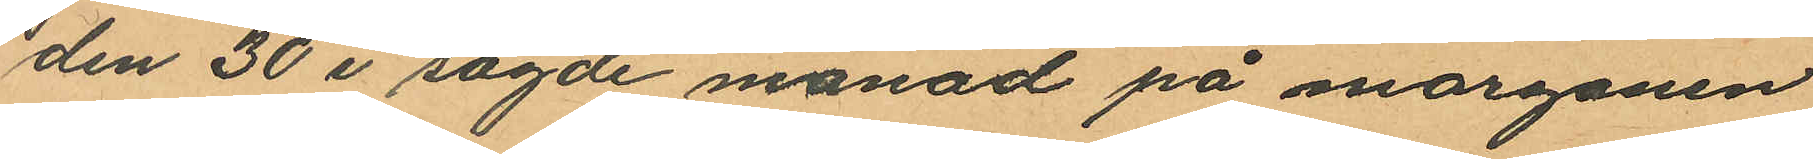den 30 i sagde månad på morgonen
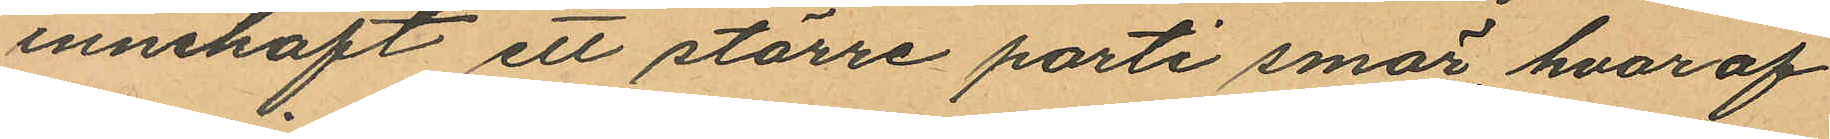innehaft ett större parti smör, hvaraf
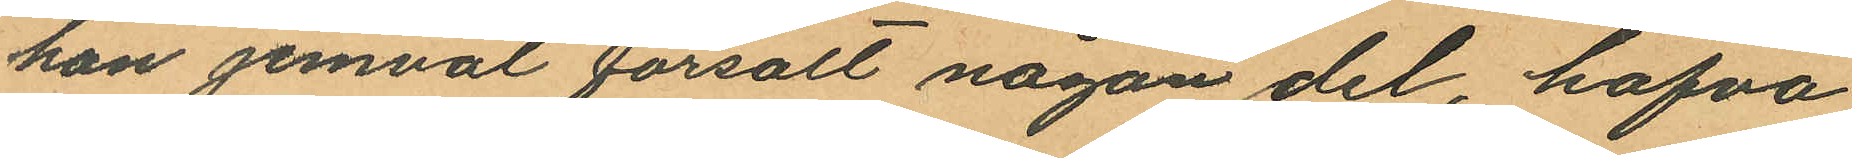han jemväl försålt någon del, hafva
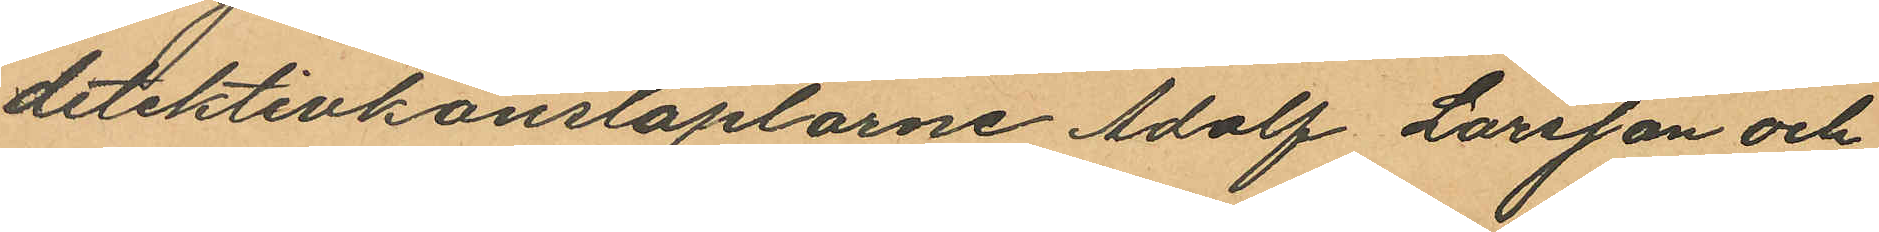detektivkonstaplarne Adolf Larsson och
